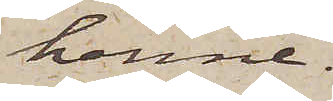henne.
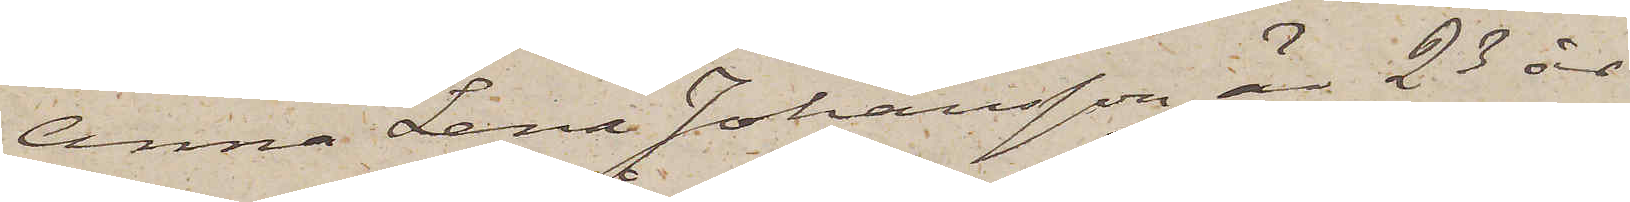Anna Lena Johansson är 23 år
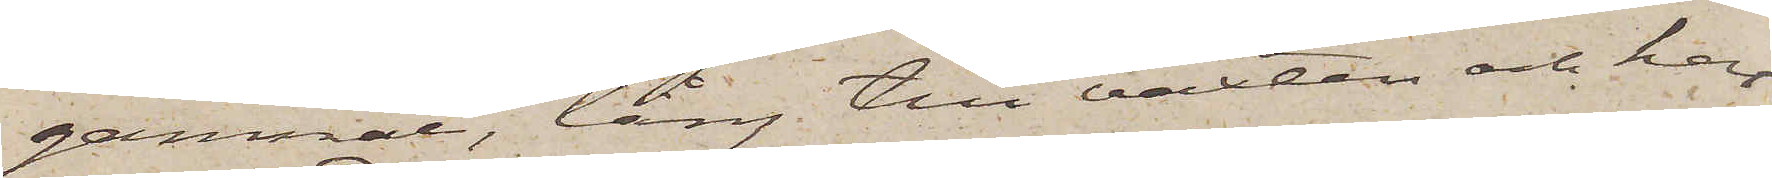gammal, lång till växten och har
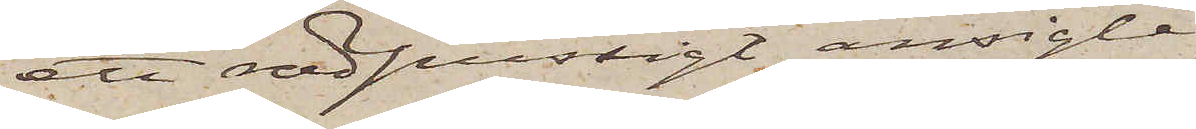ett rödpussigt ansigte.
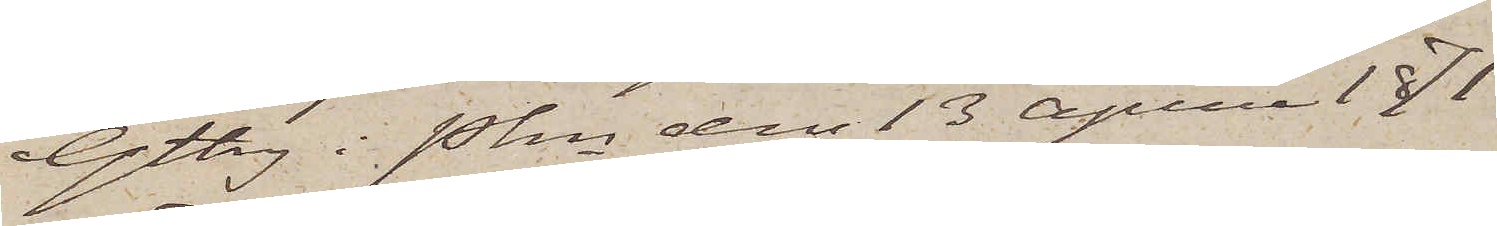Gtbg i Pkn den 13 April 1871
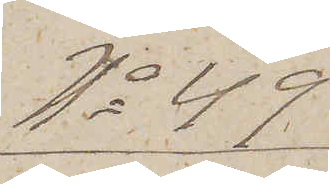No 49
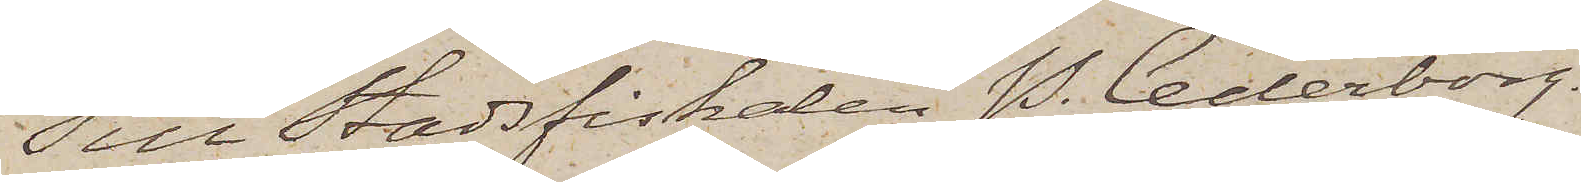Till Stadsfiskalen P. Cederborg.
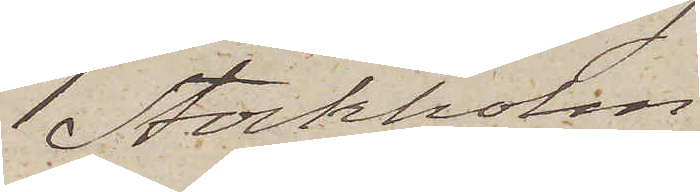Stockholm.
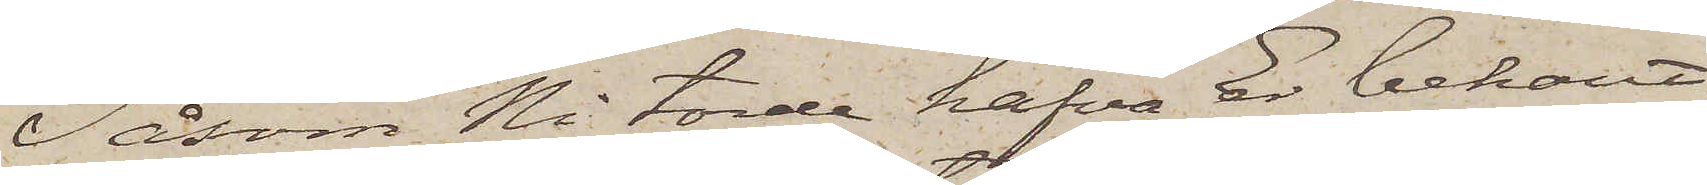Såsom Ni torde hafva Er bekant
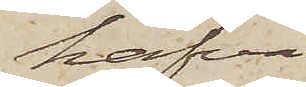hafva
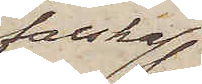falska
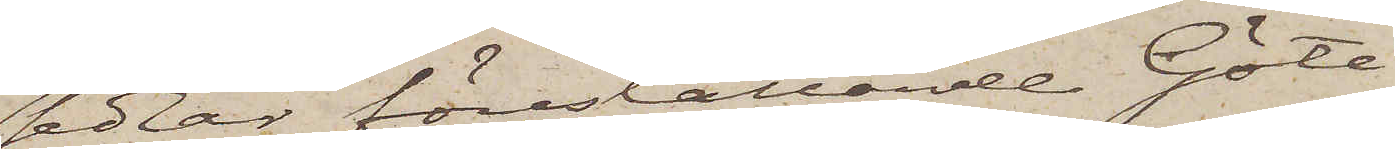sedlar föreställande Göte¬
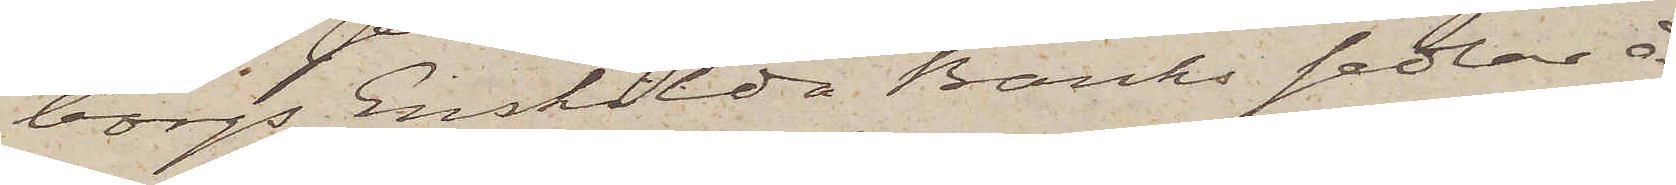borgs Enskilda Banks sedlar å
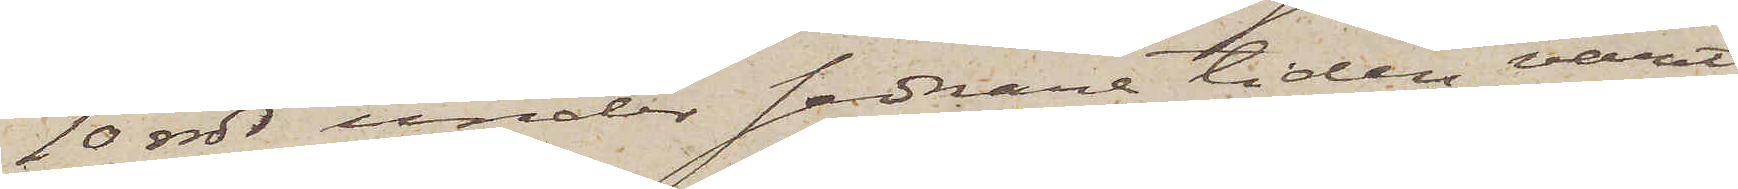10 rdr, under sednare tiden varit
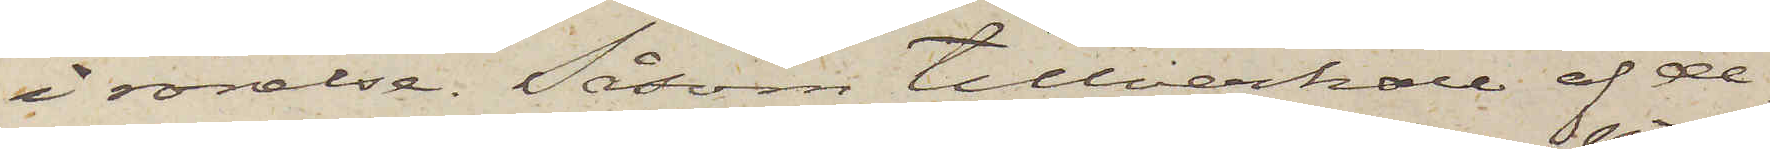i rörelse. Såsom tillverkare af de¬
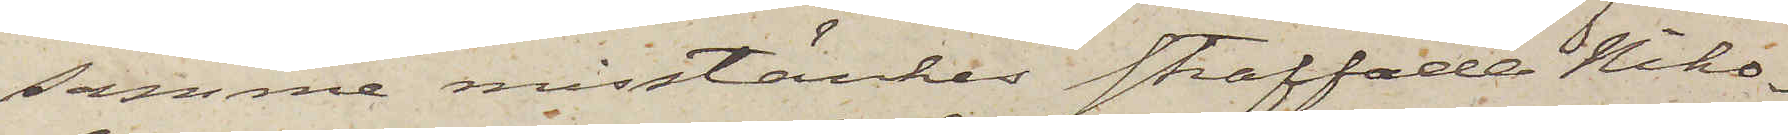samma misstänkes straffade Niko¬
